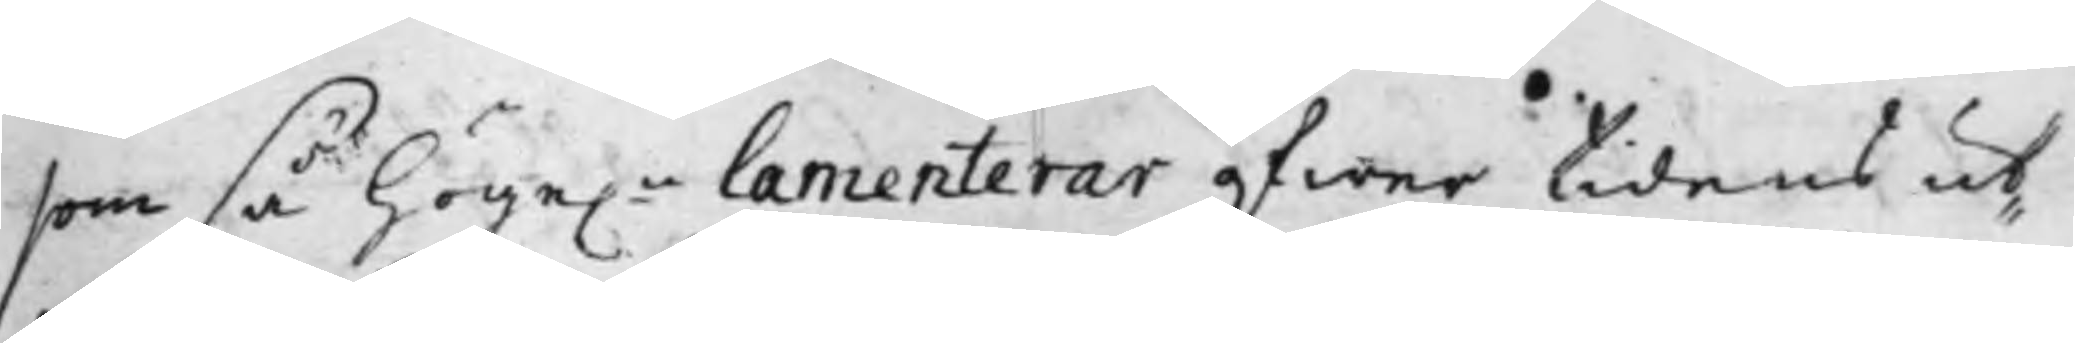som så höge.n lamenterar öfwer tidens ut¬
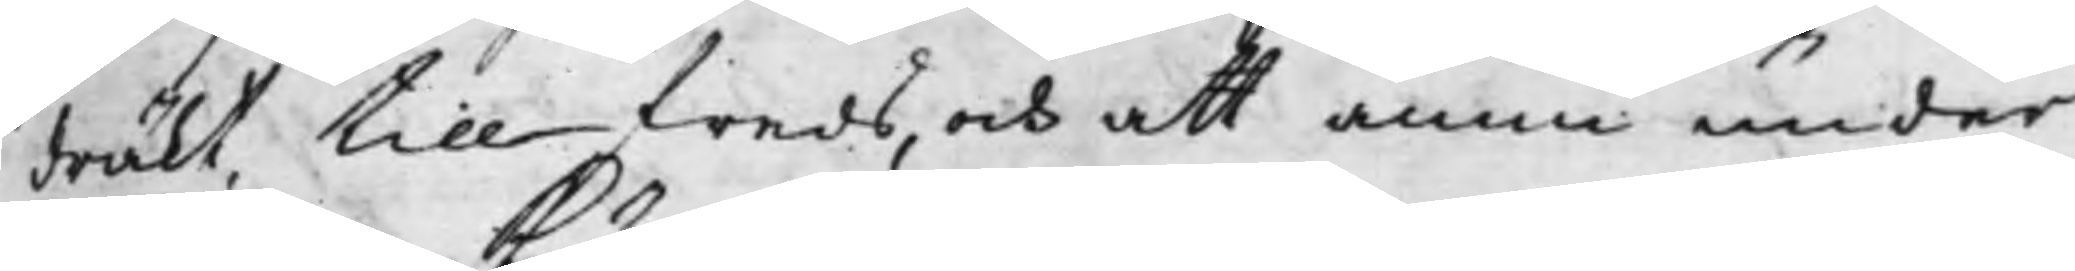dräkt tillfreds, och att ännu under
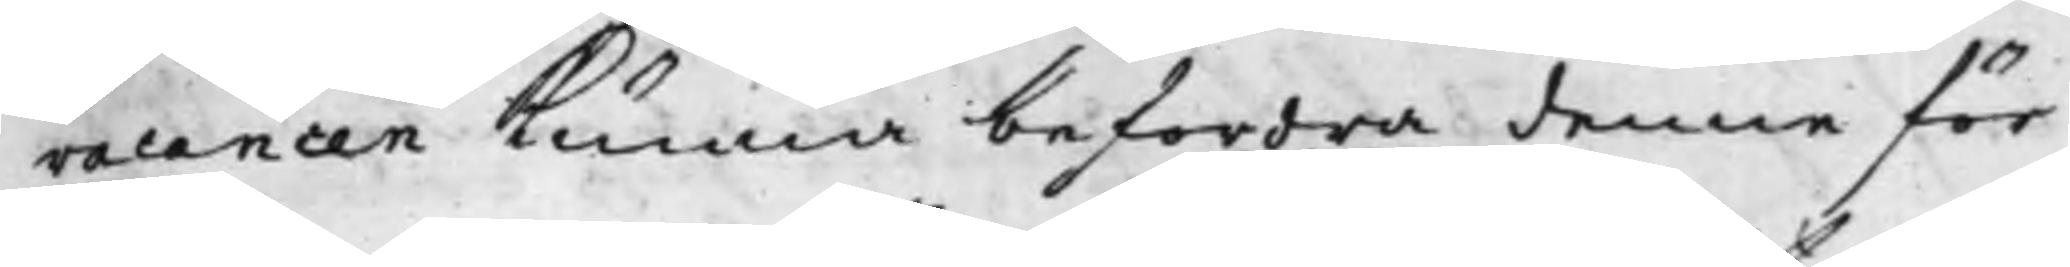vacancen kunna befordra denne för
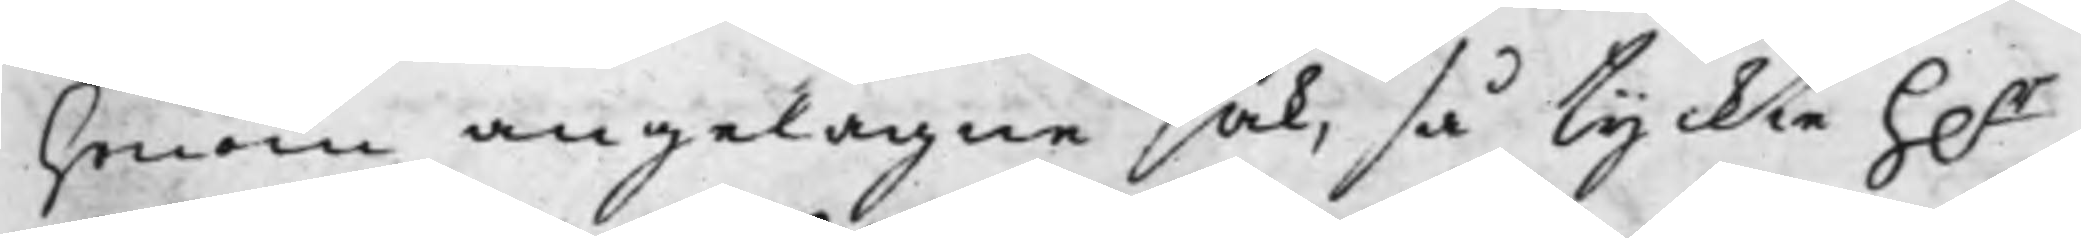honom angelägne sak, så tyckte h.r
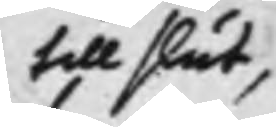till slut,
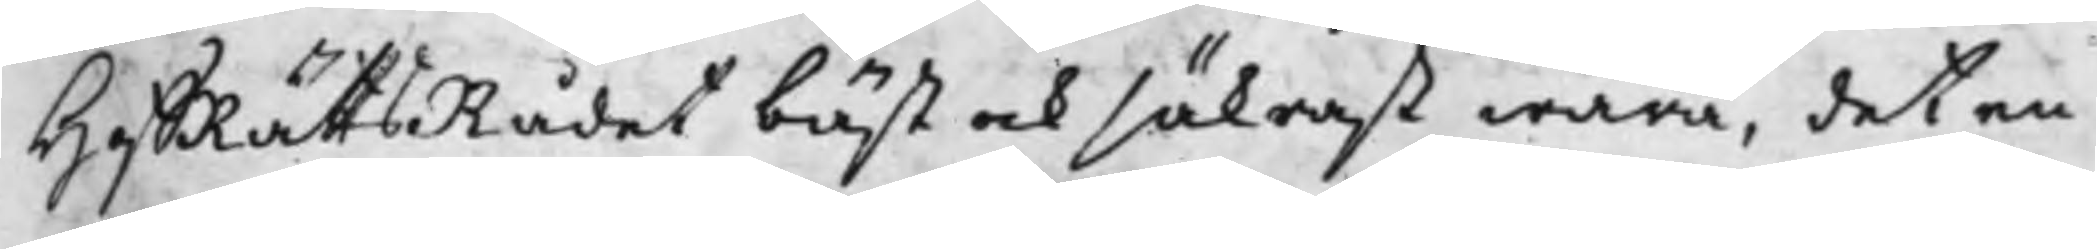HoffRättsRådet bäst och säkrast wara, det en
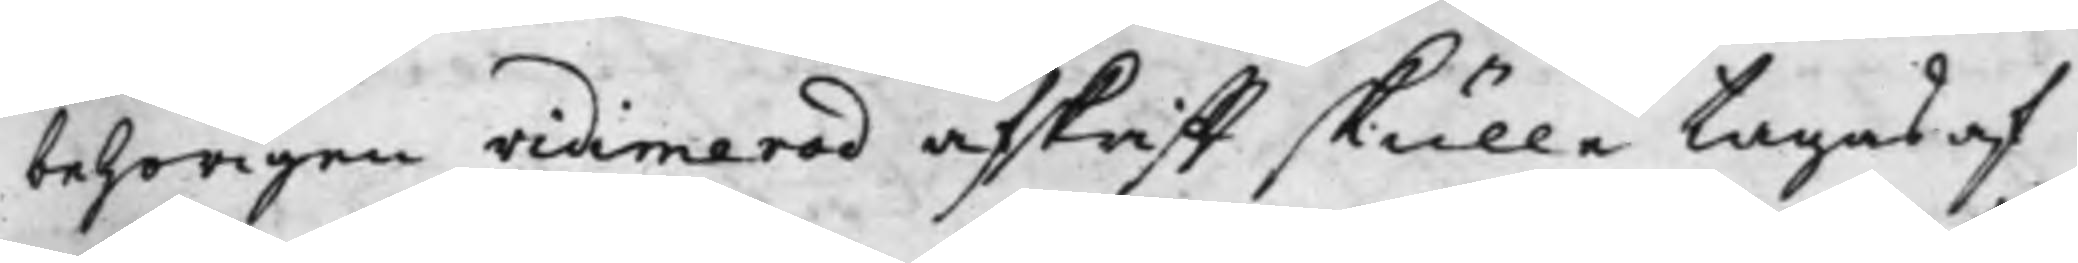behörigen vidimerad afskrifft skulle tagas af
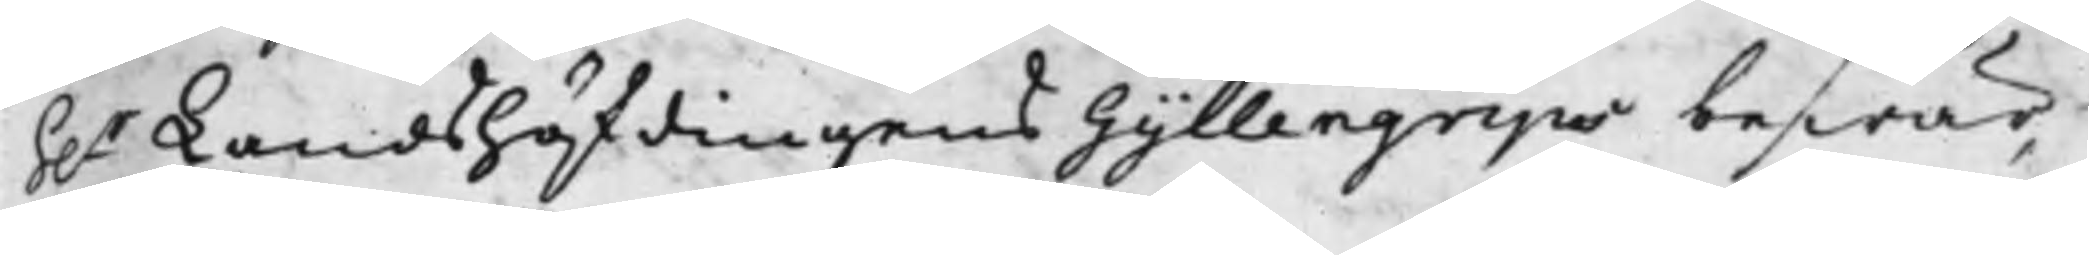h.r Landshöfdingens Gyllengrips beswär,
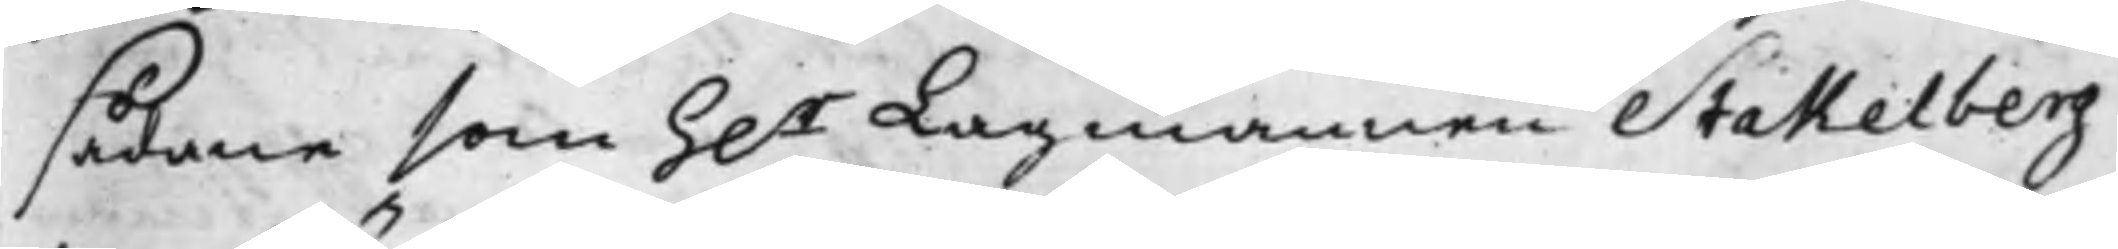sådane som h.r Lagmannen Stakelberg
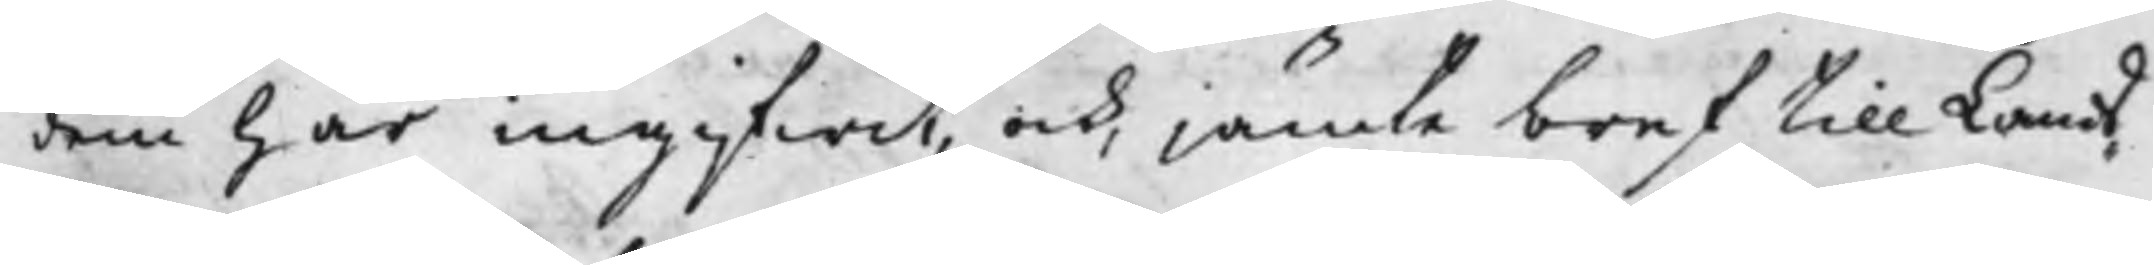dem här ingifwit, och, jämte bref till Lands¬
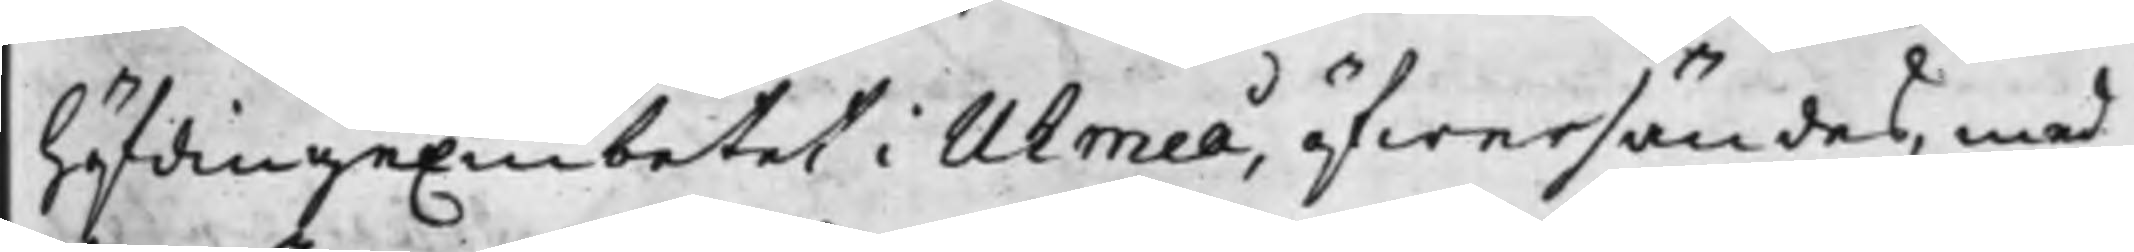höfdingeEmbetet i Uhmeå, öfwersändes, med
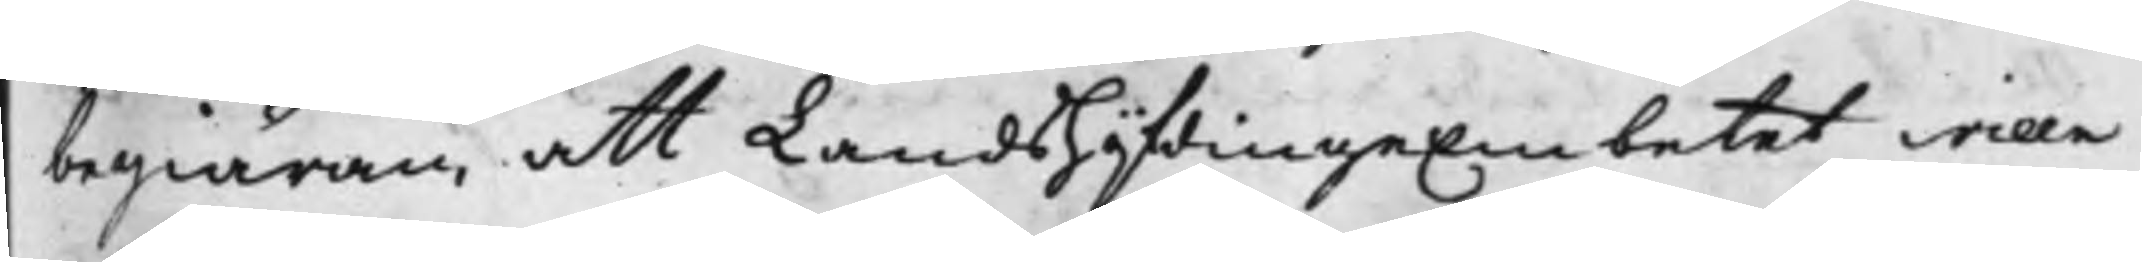begiäran, att LandshöfdingeEmbetet wille
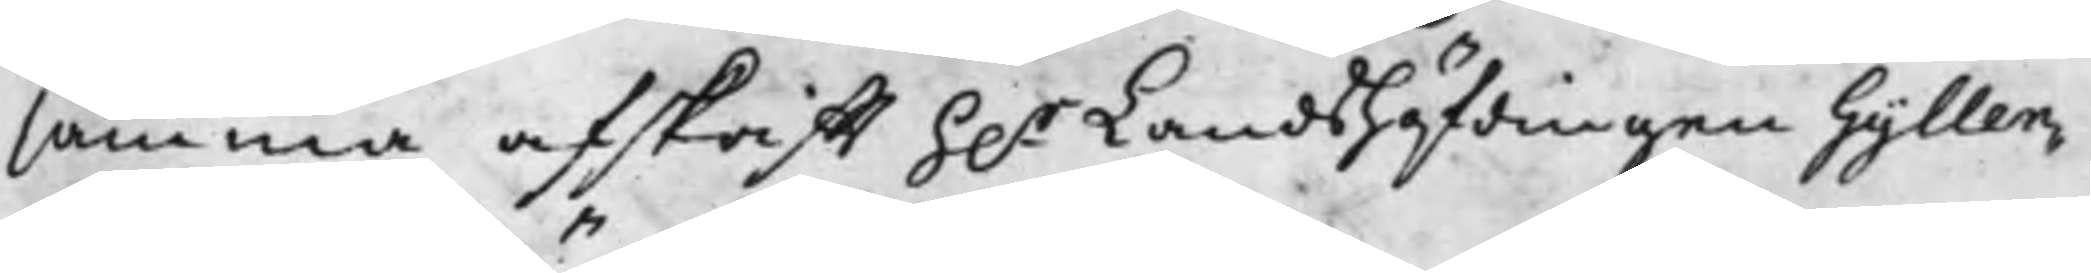samma afskrifft h.r Landshöfdingen Gyllen¬
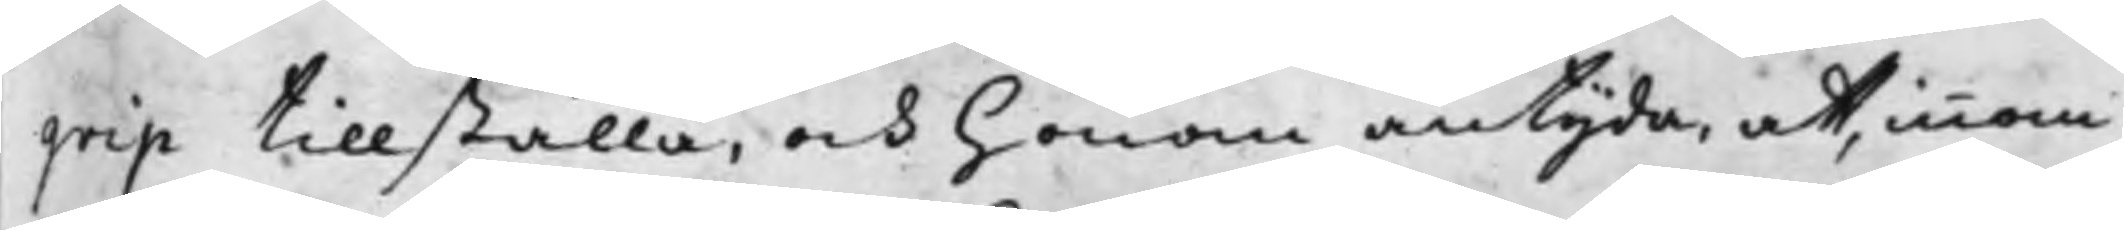grip tillställa, och honom antyda, at, innom
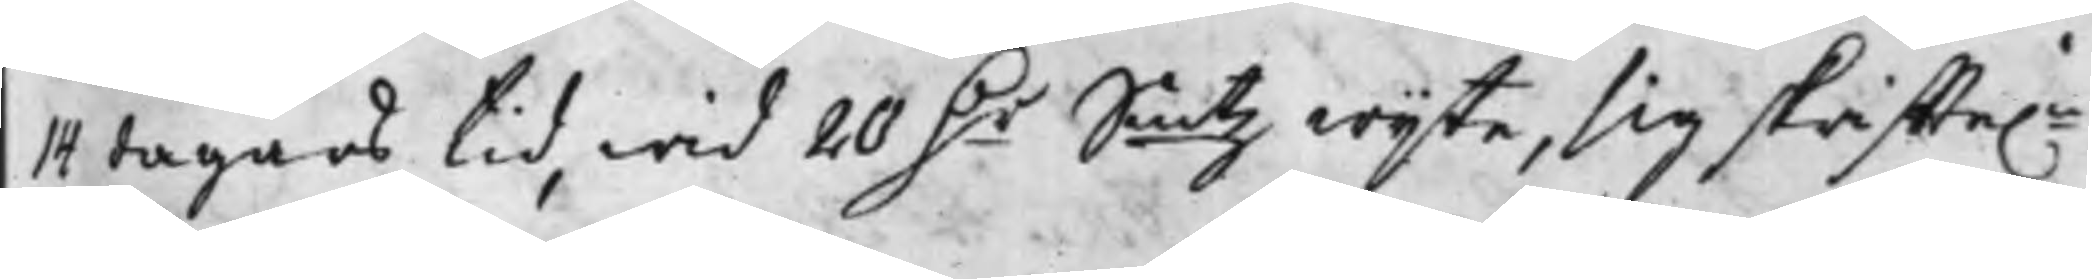14 dagars tid, wid 20 D.r Smtz wijte, sig skriffte.n
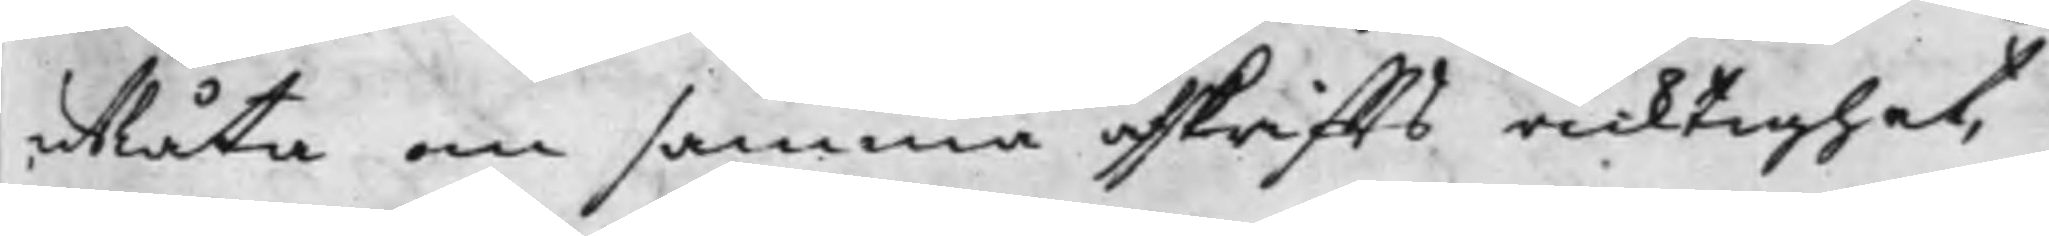utlåta om samma afskriffts ricktighet,
